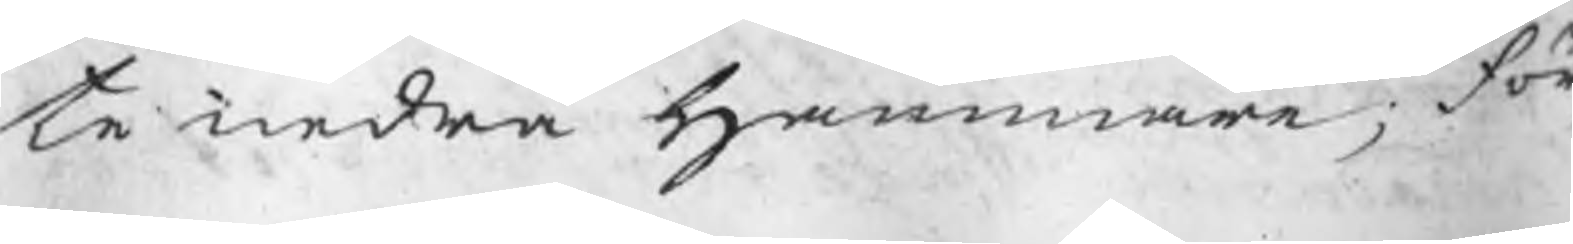te nedra Hammare; för
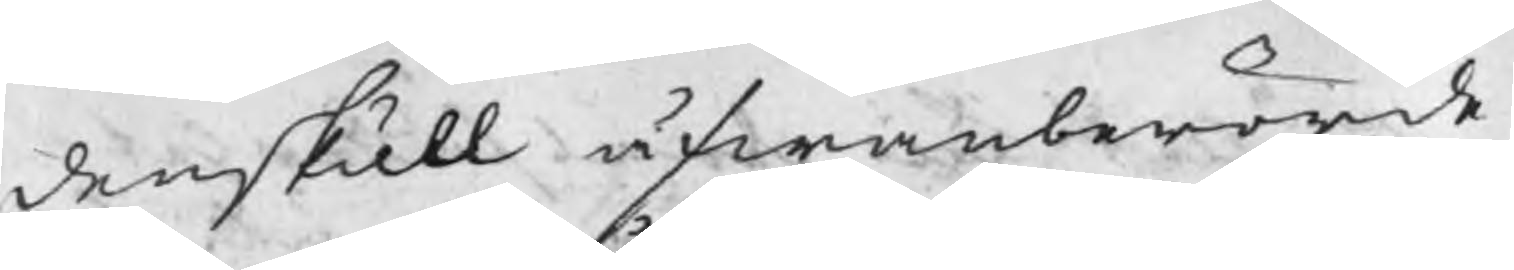denskull åfwanberörde
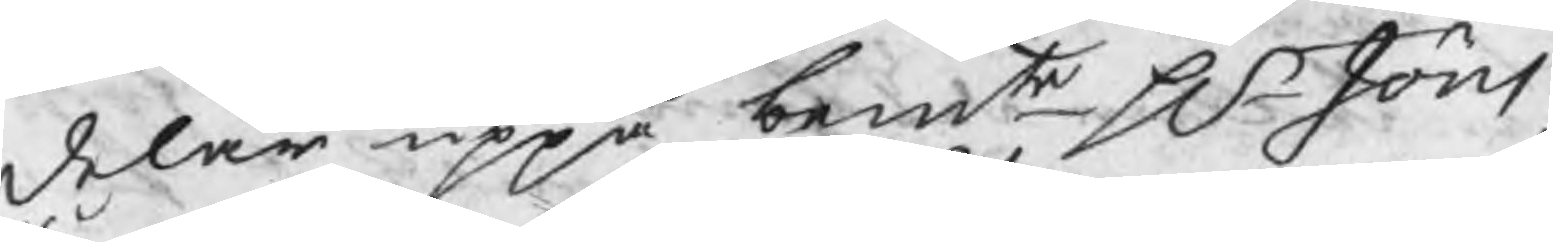delar uppå bemte Hr Jöns
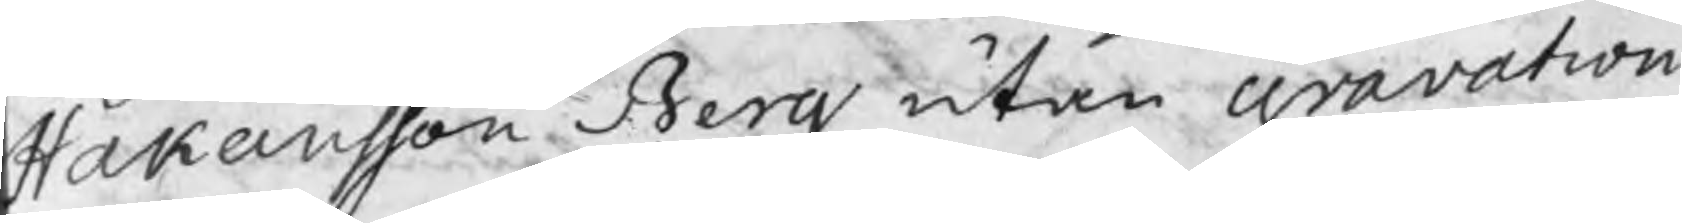Håkansson Berg utan gravation
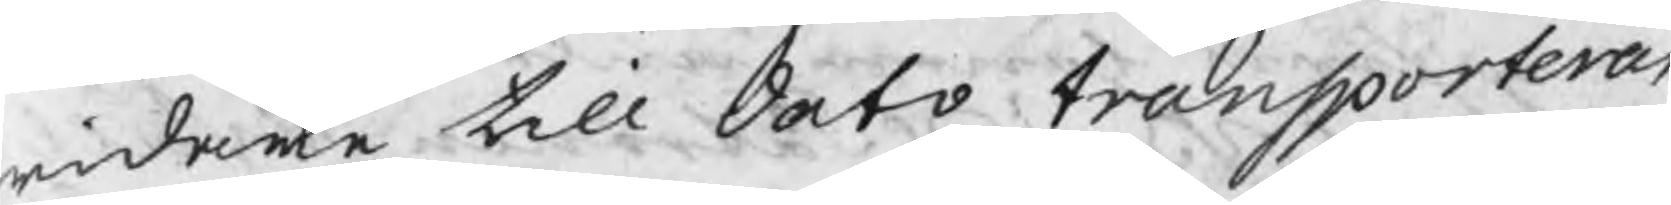widare till dato transporteras
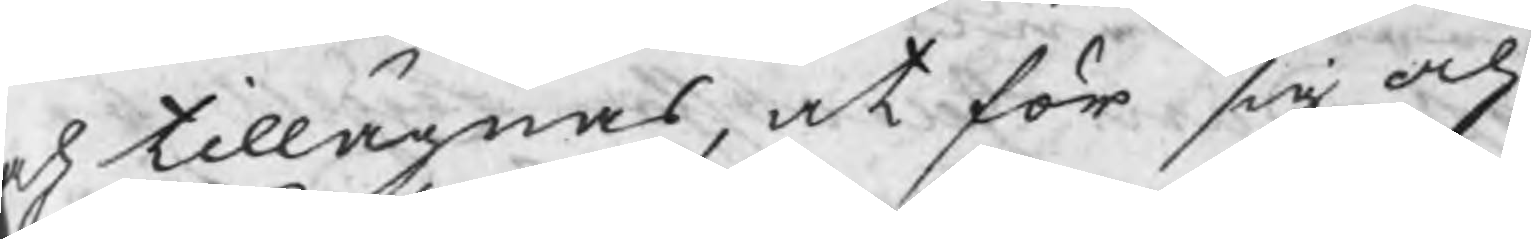ch tillänas, at för sig och
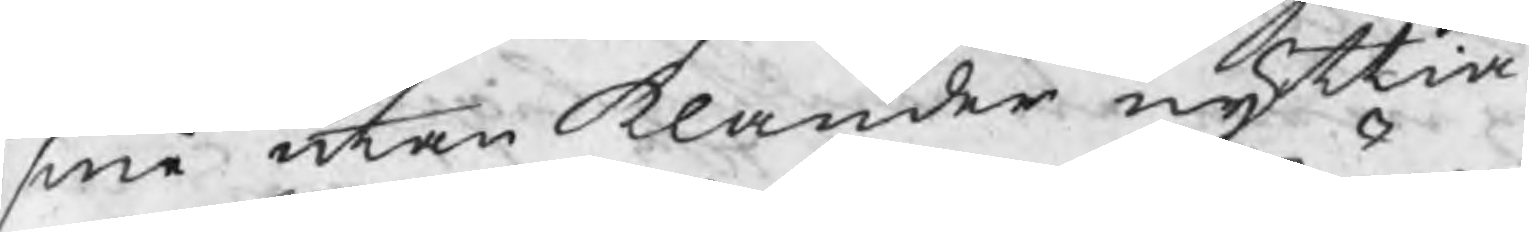små utan klander nyttia
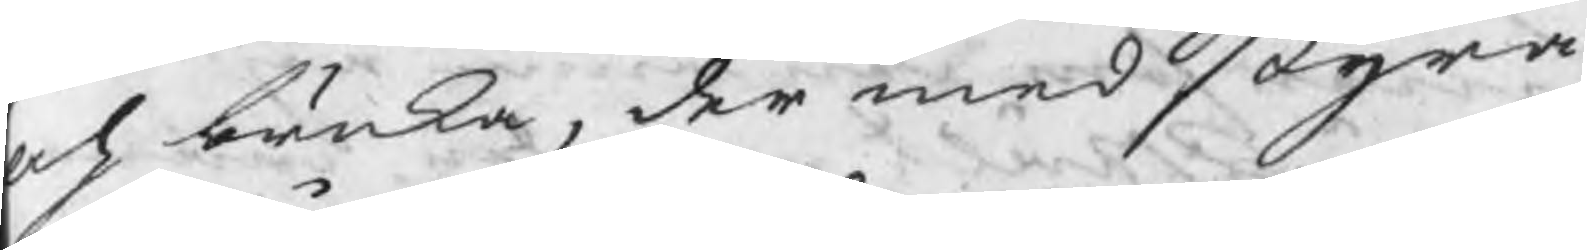och tänka, der med styra
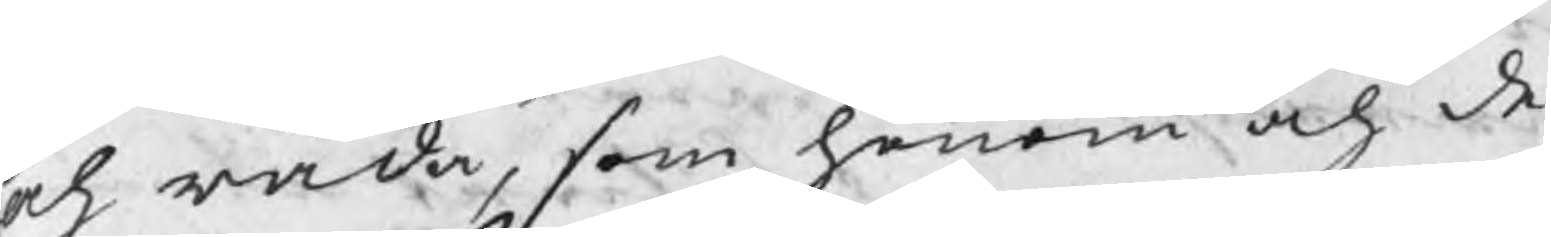och råda, som honom och de
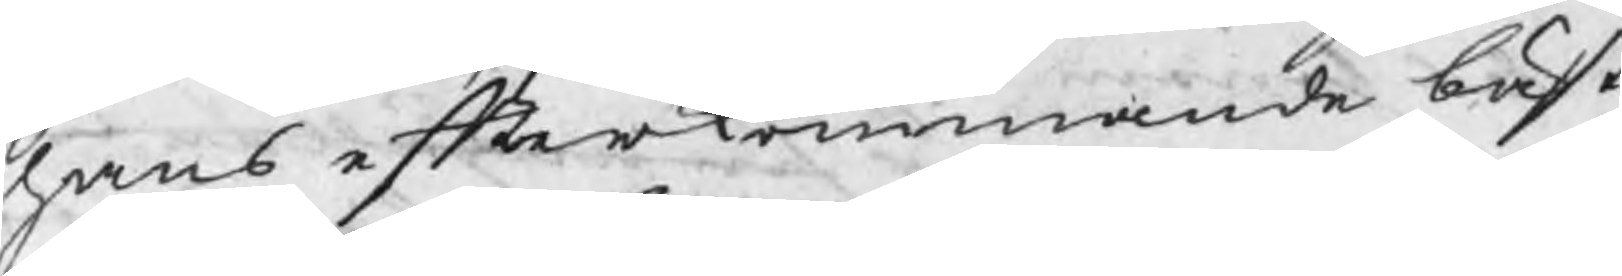hans efterkommande bäst
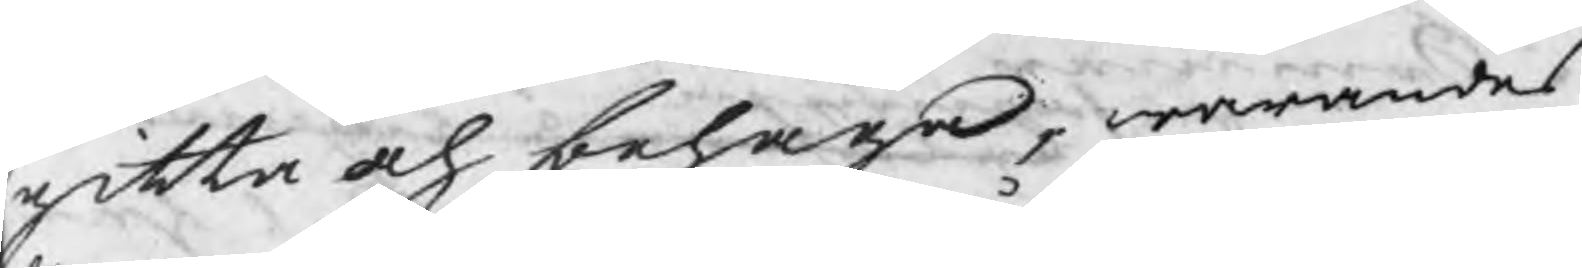gitta och behaga, warandes
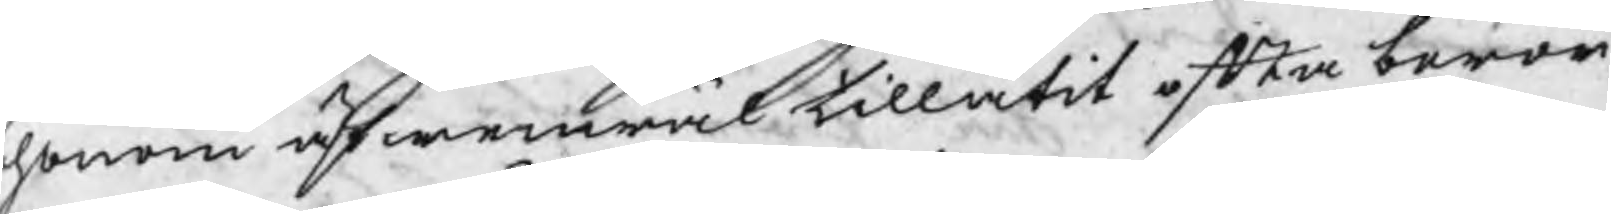honom äfwenwäl tillåtit efter berör¬
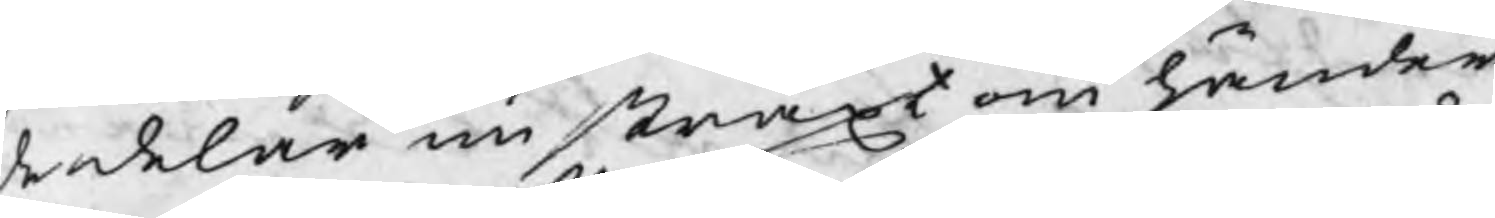de delar nu straxt om händer
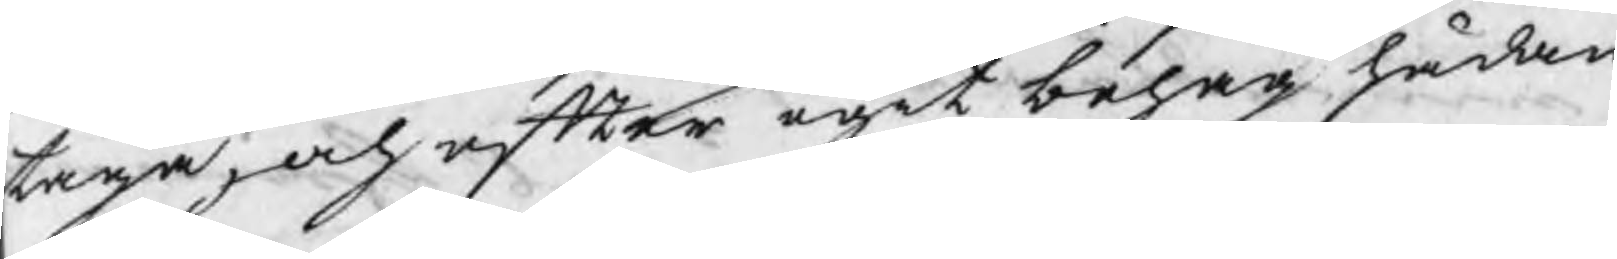taga, och efter egit behag hädan
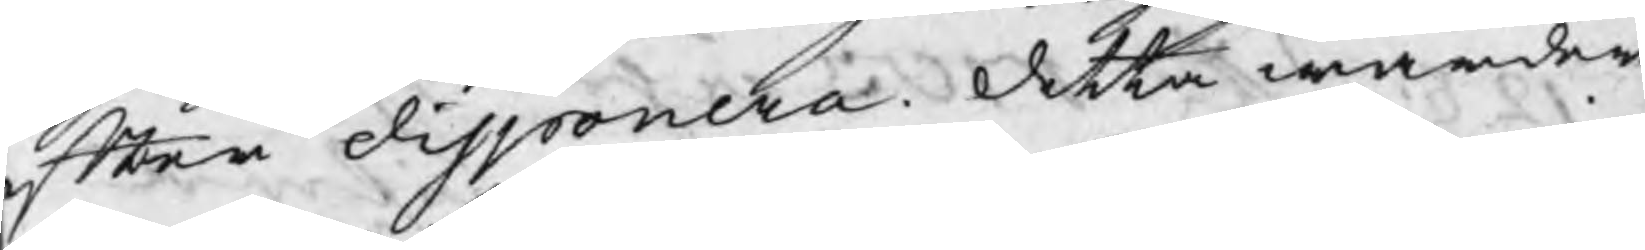efter disponera. Detta warder
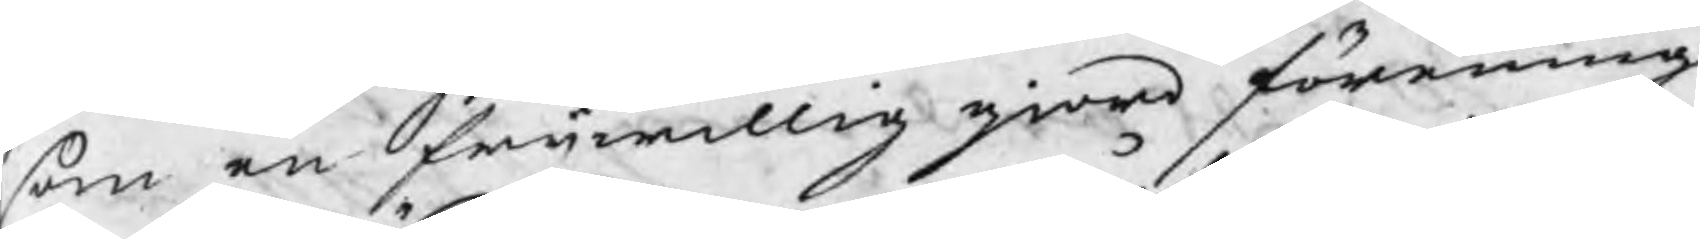sem en friwillig giord föraning
